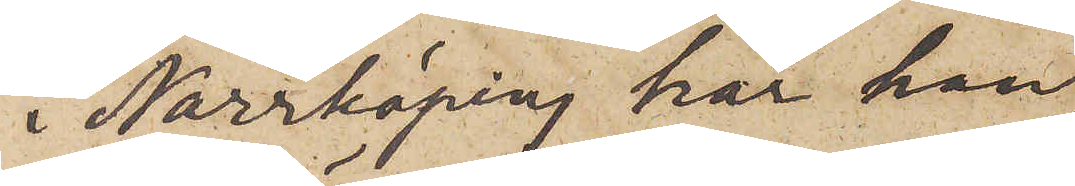i Norrköping har han
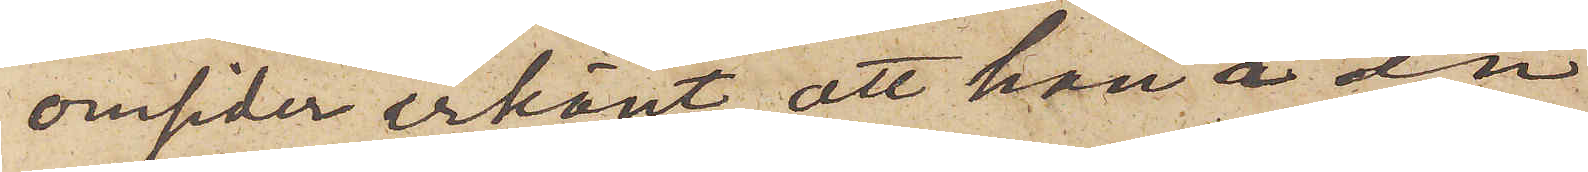omsider erkänt, att han å en
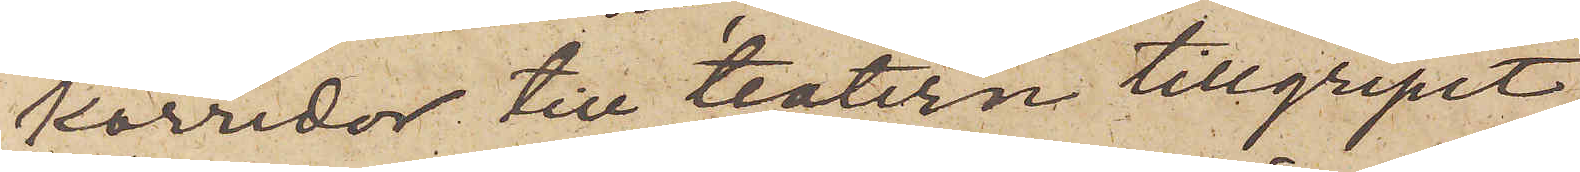korridor till teatern tillgripit
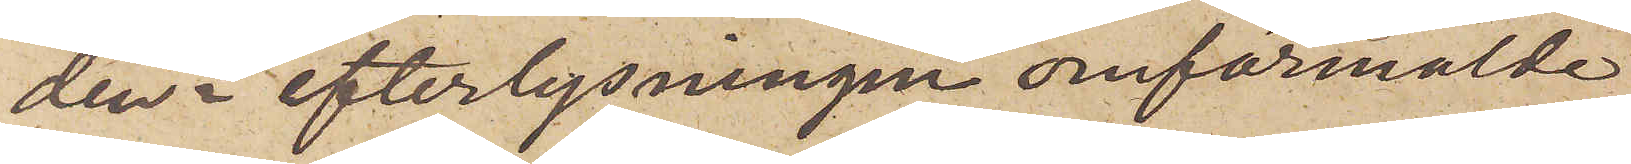den i efterlysningen omförmälde
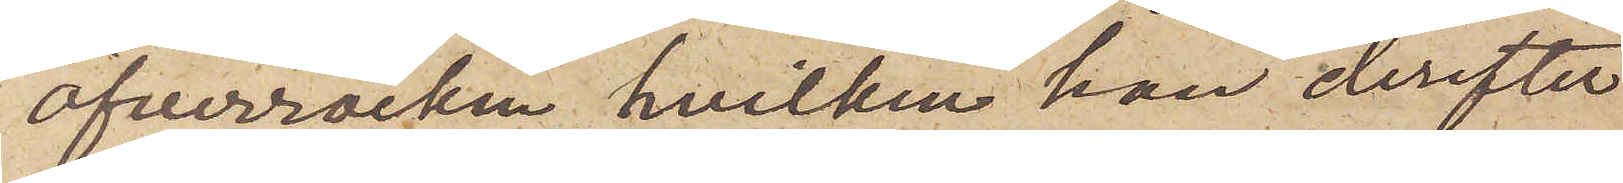öfverrocken, hvilken han derefter
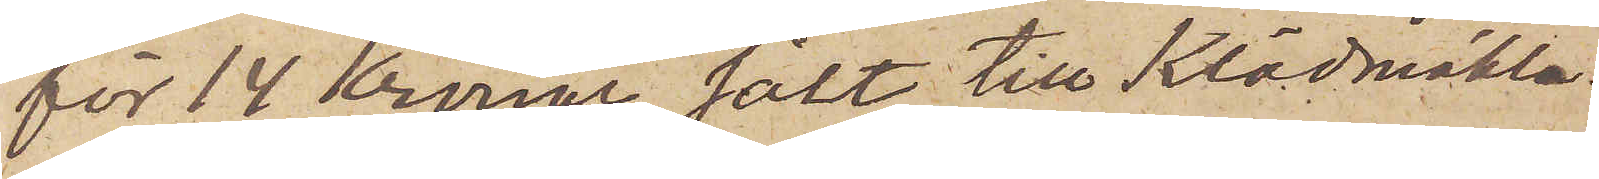för 14 Kronor sålt till Klädmäkla¬
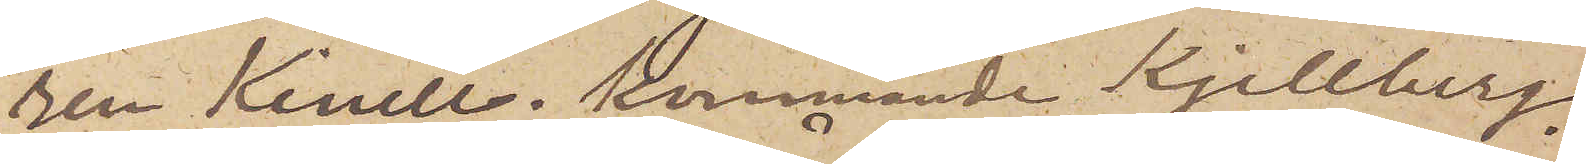ren Kinell; kommande Kjellberg
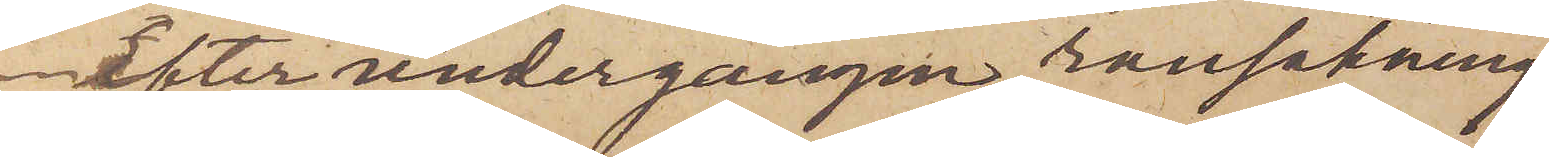efter undergången ransakning
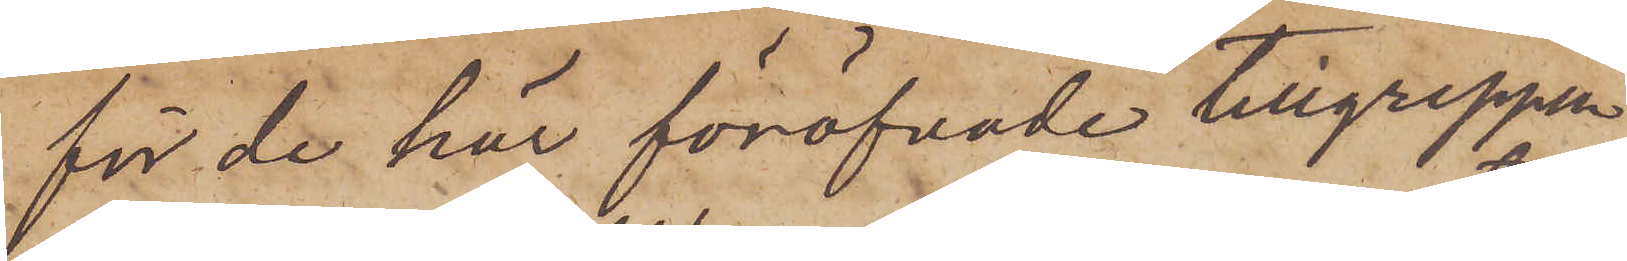för de här föröfvade tillgreppen
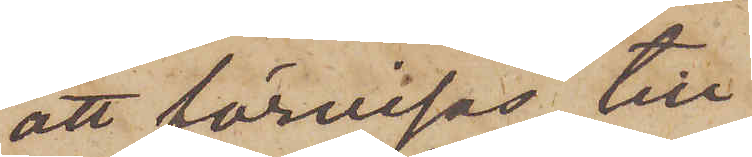att förvisas till
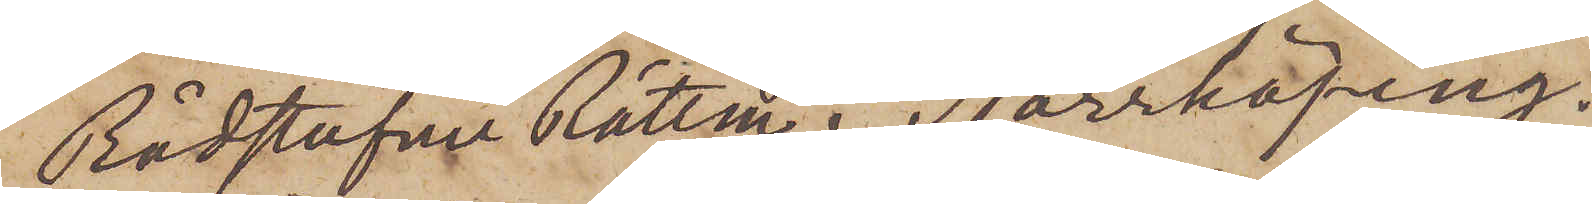Rådstufvu Rätten i Norrköping.
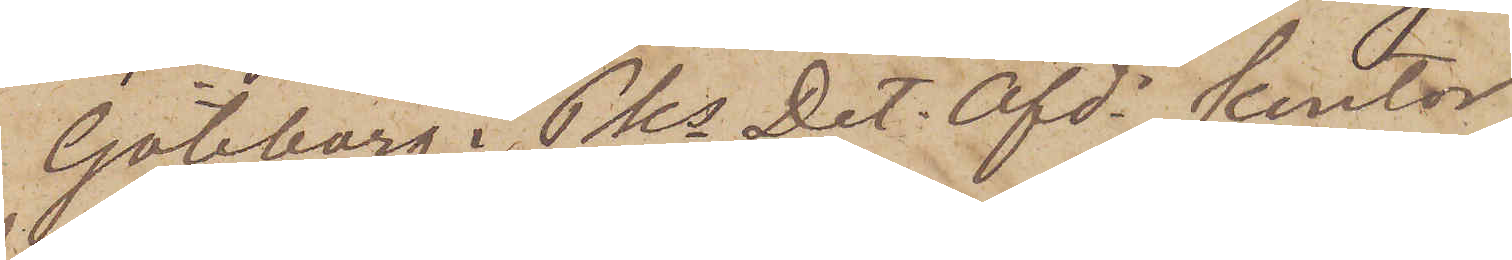Göteborg i Pks Det. Afds kontor
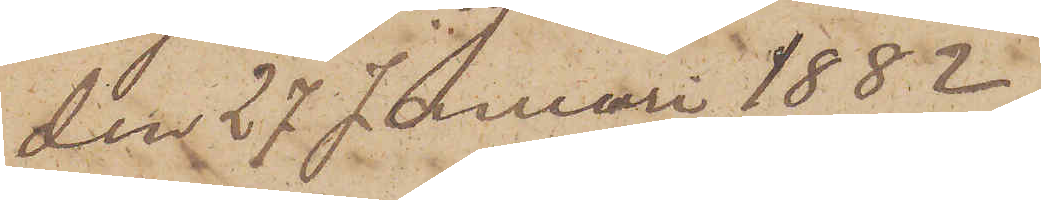den 27 Januari 1882.
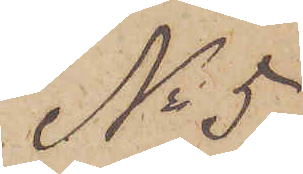No 5.
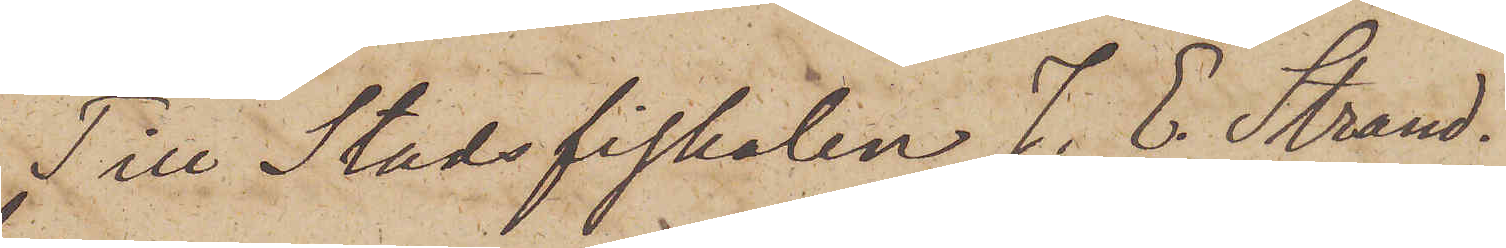Till Stadsfiskalen J. E. Strand¬
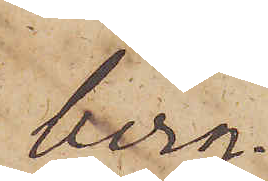berg.
